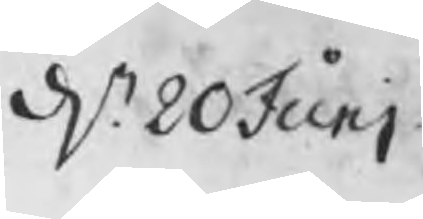d. 20 Junj
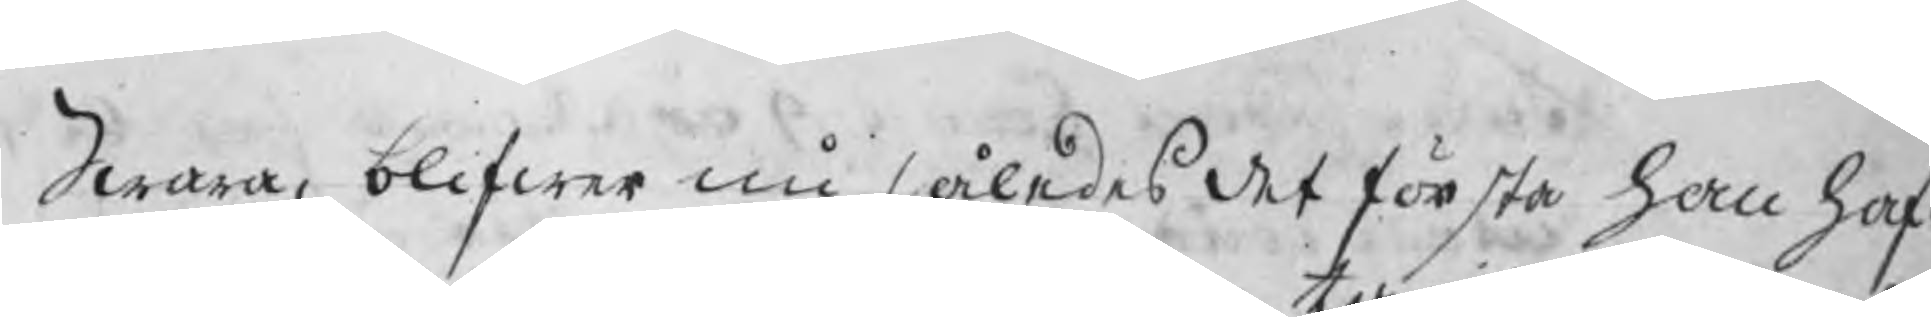Swar, blifwer nu således det första han haf¬
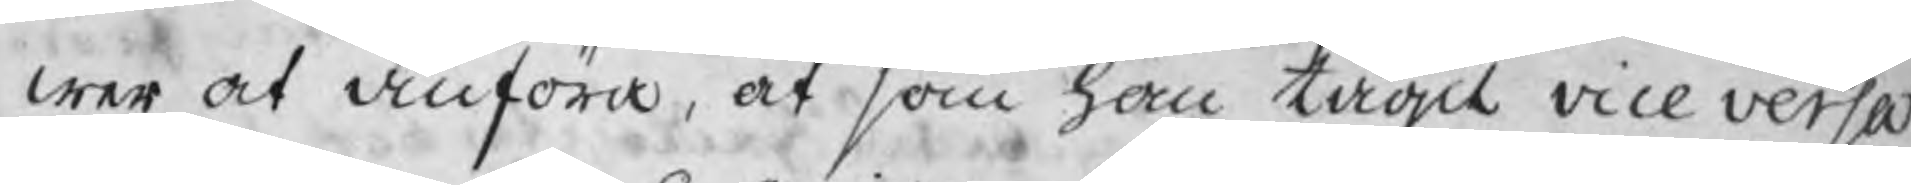wer at anföra, at som han tagit vice versa
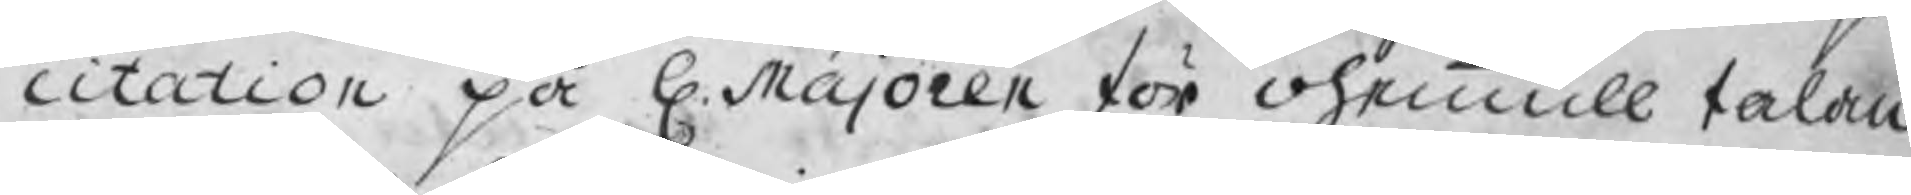citation på H. Majoren för ohemmull talan
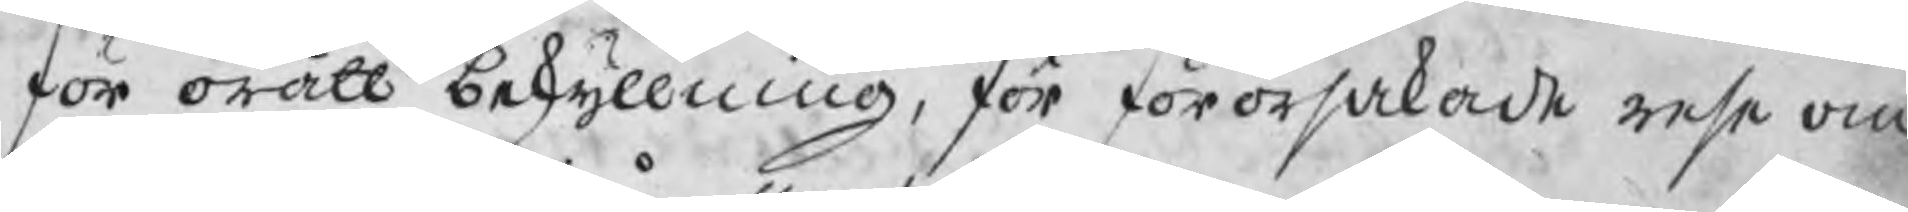för orätt beskyllning, för förorsakade rese om
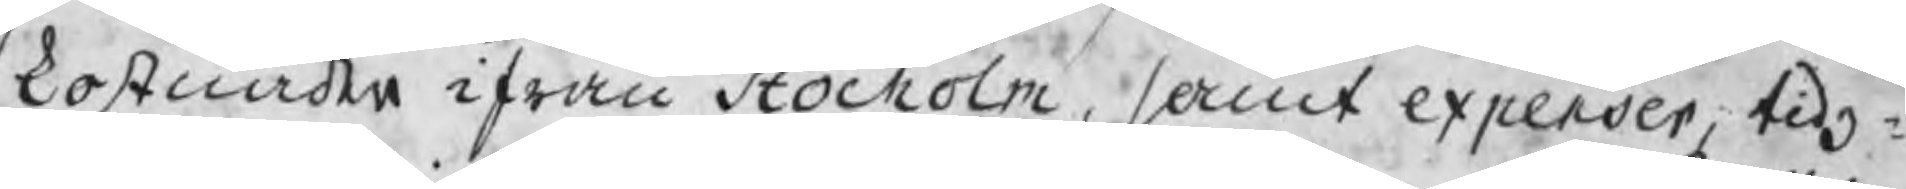kostnader ifrån Stockholm, samt expenser, tidz¬
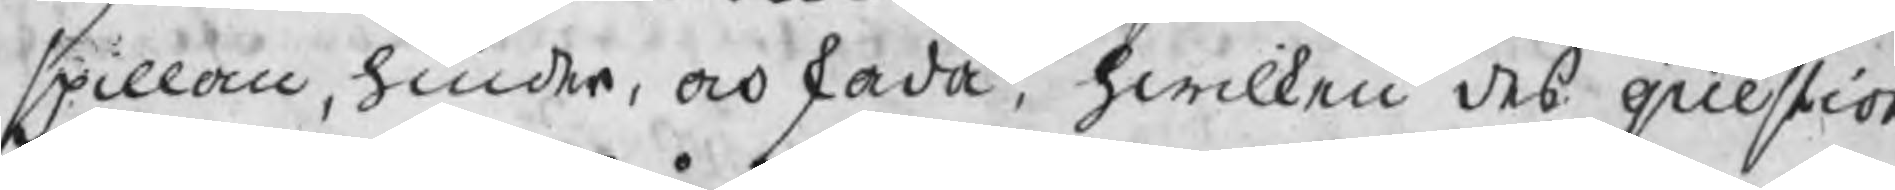spillan, hinder, och skada. hwilken des question
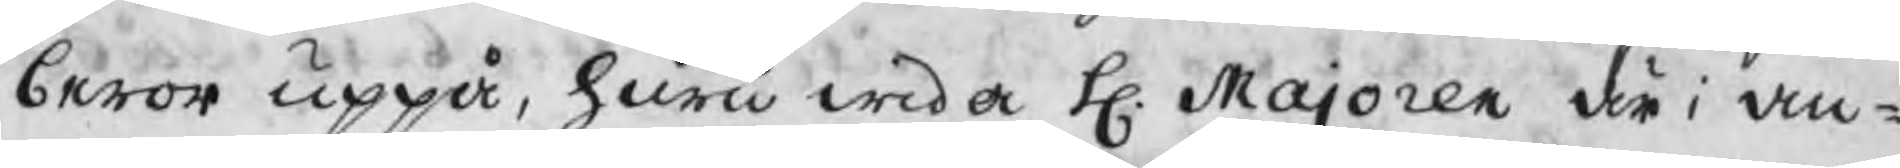beror uppå, huru wida H. Majoren är i an¬
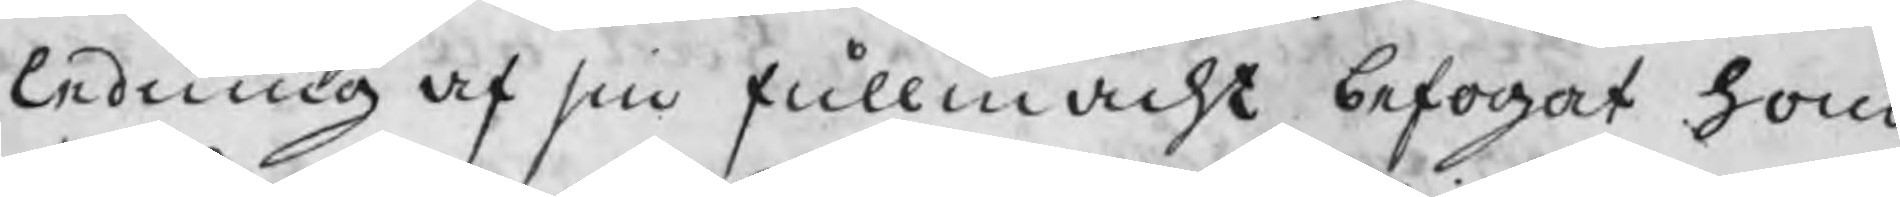ledning af sin fullmacht befogat hono
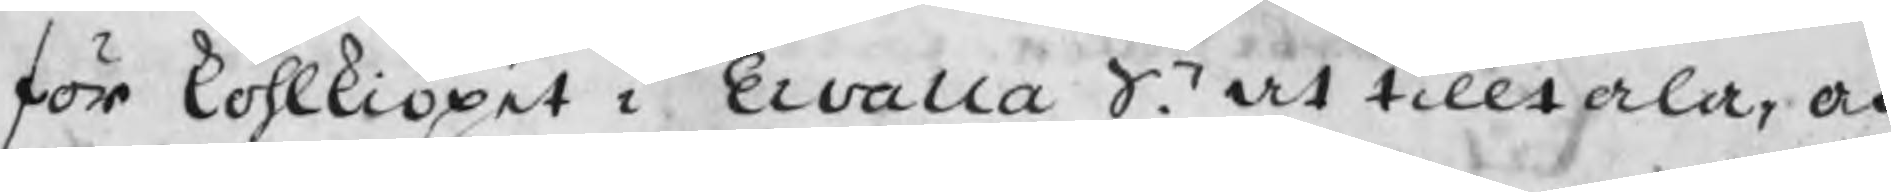för kohlkiöpet i Ervalla Sn. at tilltala, och
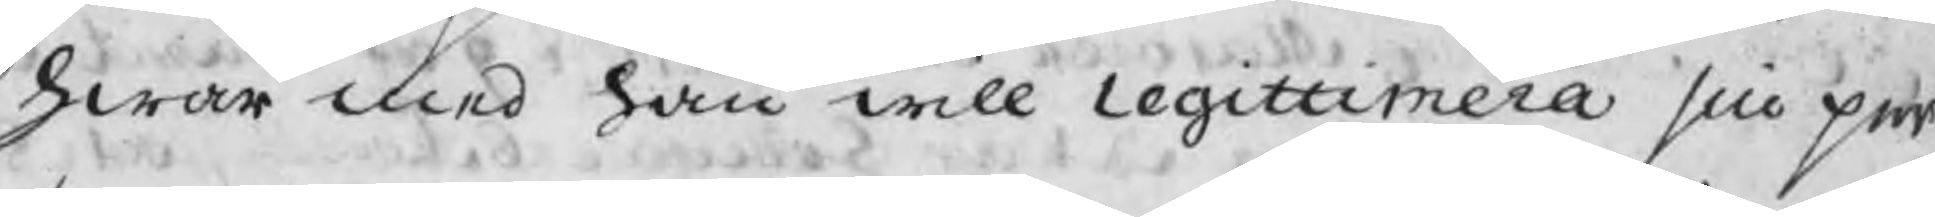hwar med han will legittimera sin per
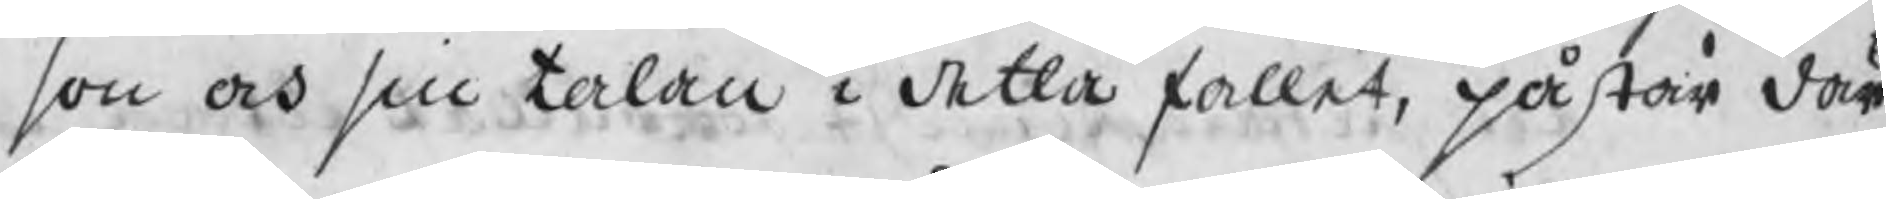son och sin talan i detta fallet, påstår där
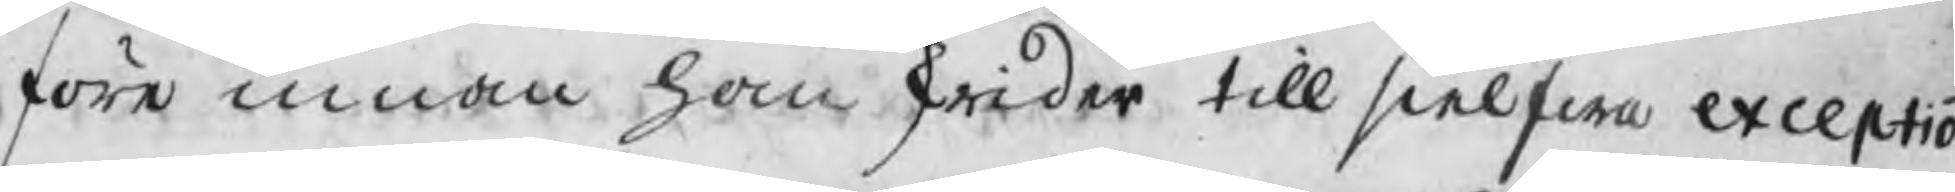före innan han skridertill sielfwa exceptio-
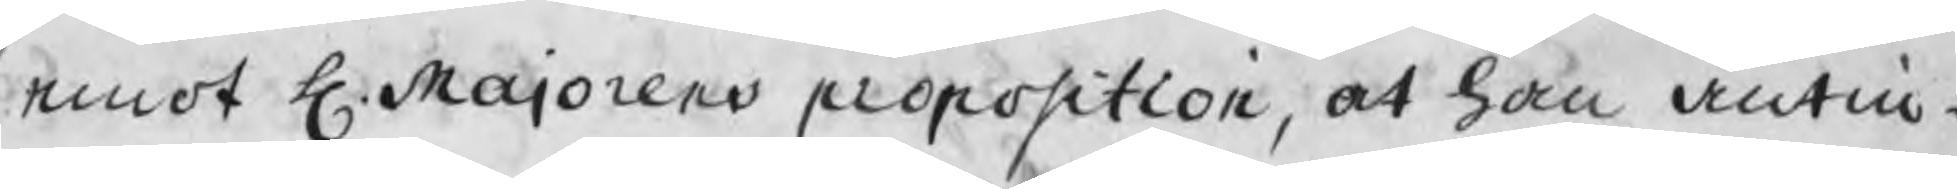emot H. Majorens proposition, at han antin¬
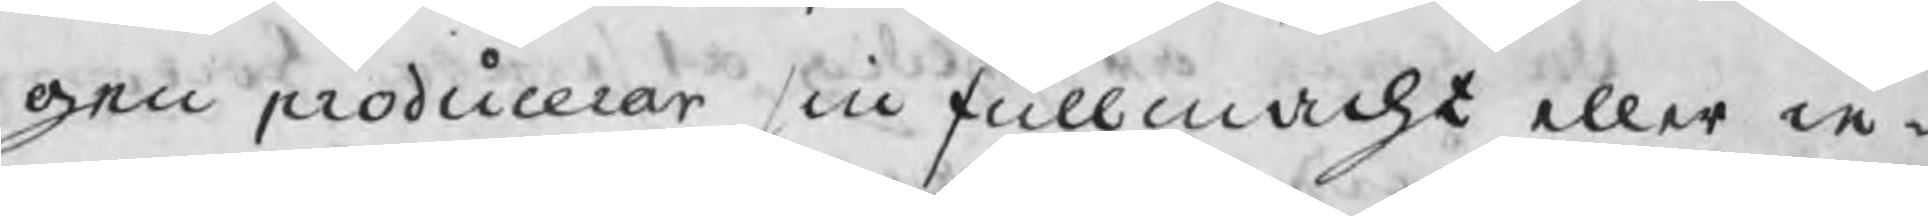gen producerar sin fullmacht eller in¬
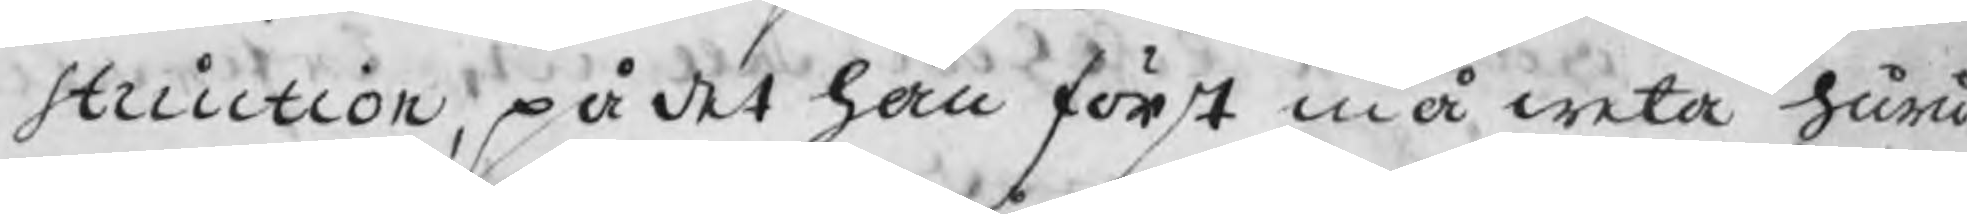struction, på det han först må weta huru
